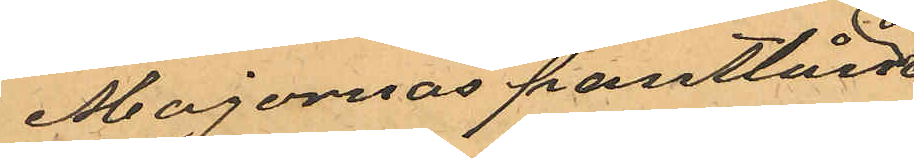Majornas pantlåne¬
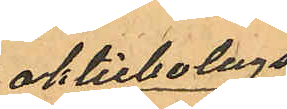aktiebolags
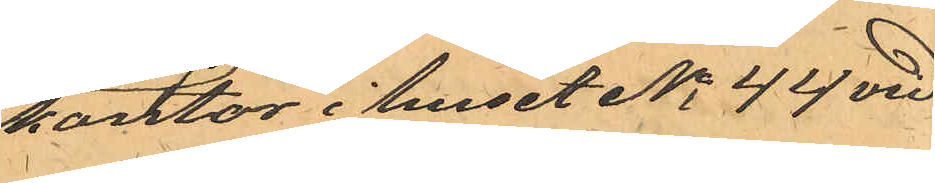kontor i huset No 44 vid
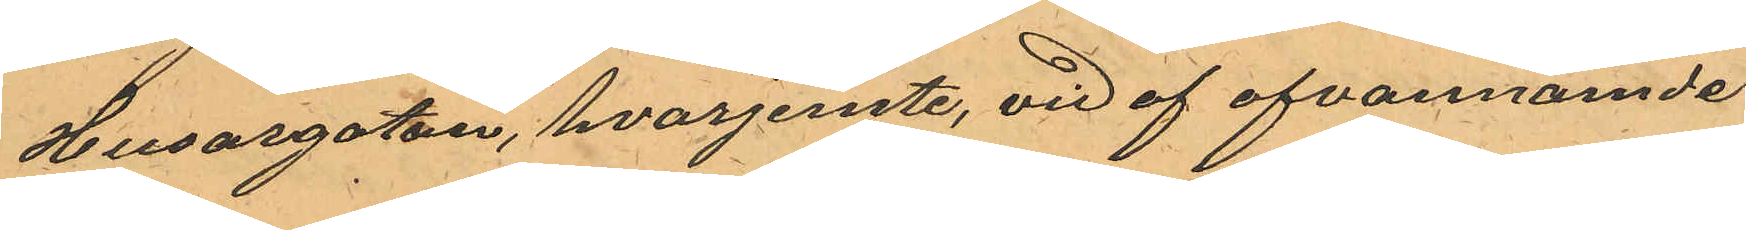Husargatan, hvarjemte, vid af ofvannämde
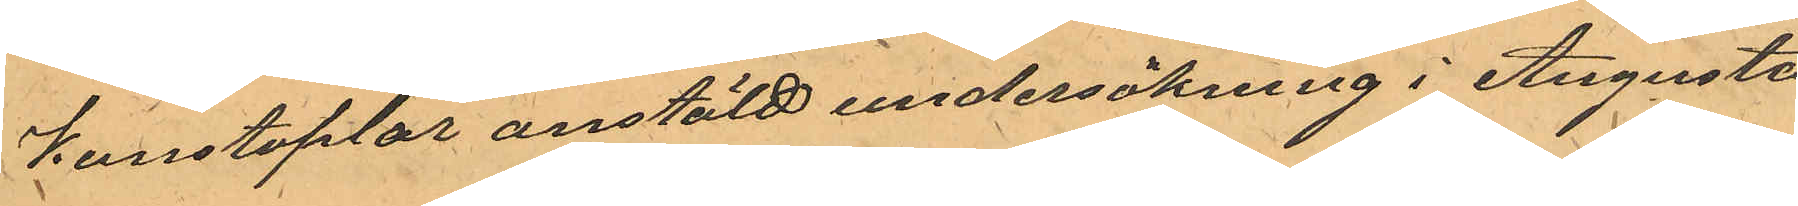Konstaplar anstäld undersökning i Augusta
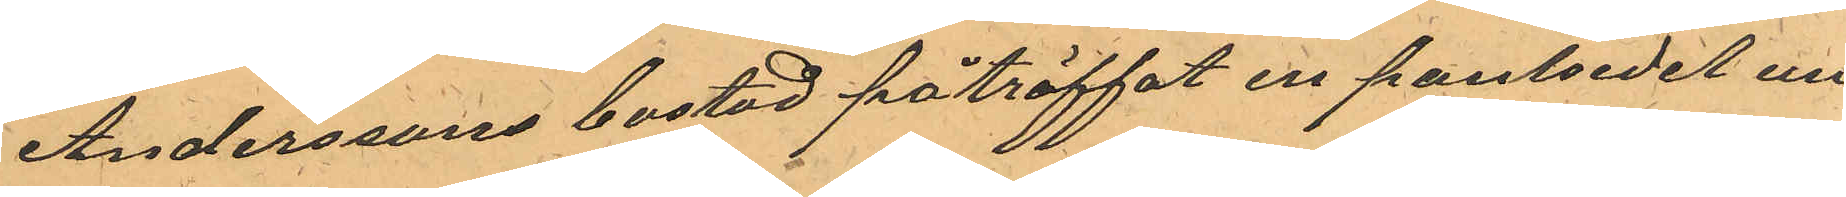Anderssons bostad påträffat en pantsedel un¬
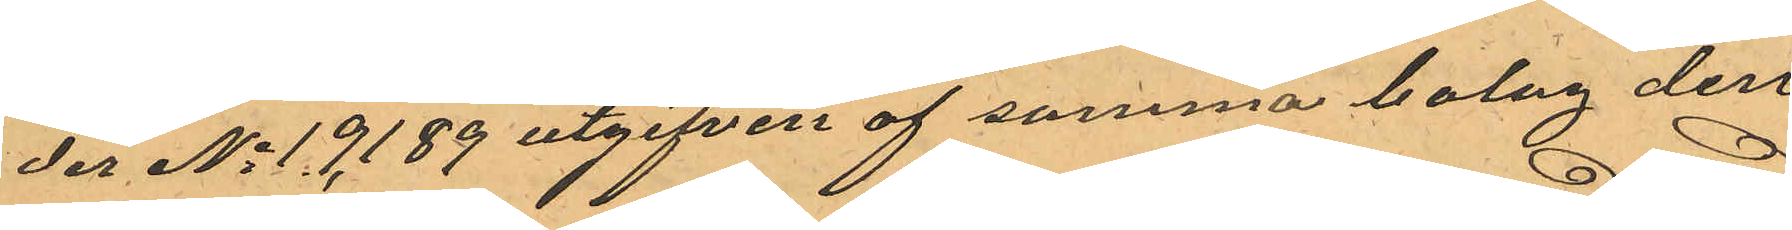der No 19,189 utgifen af samma bolag den
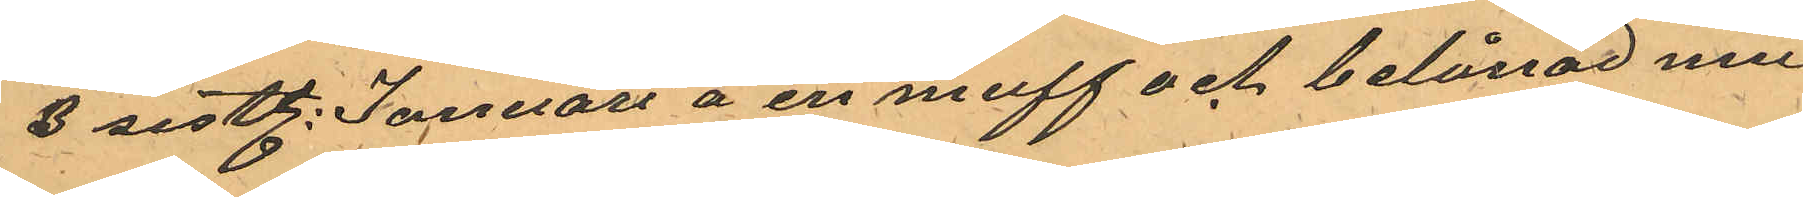3 sistl. Januari å en muff och belånad med
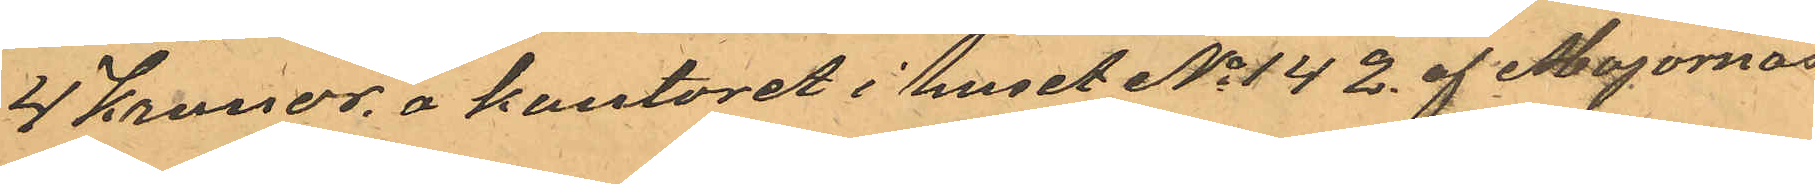4 Kronor, a kontoret i huset No 142. af Majornas
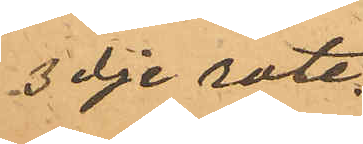3dje rote.
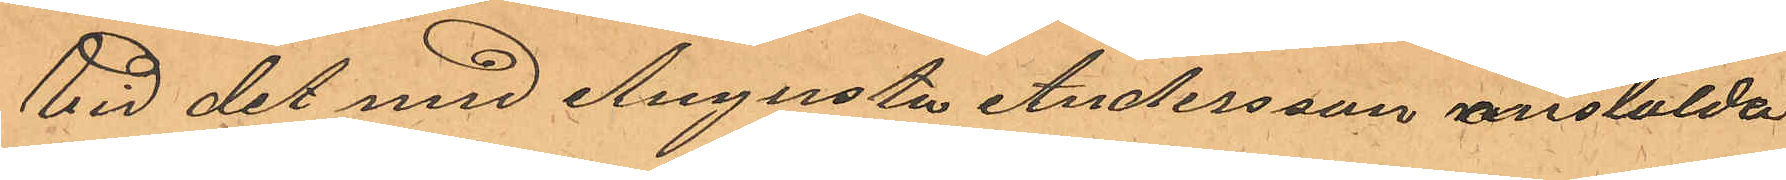Vid det med Augusta Andersson anstalda
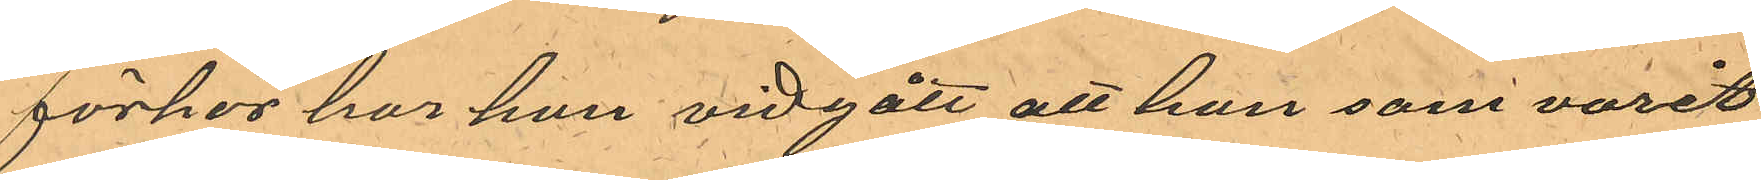förhör har hon vidgått att hon som varit
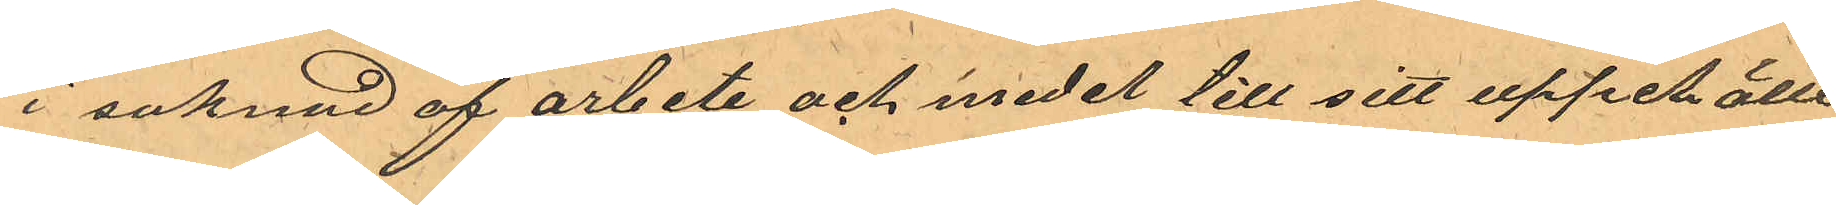i saknad af arbete och medel till sitt uppehälle
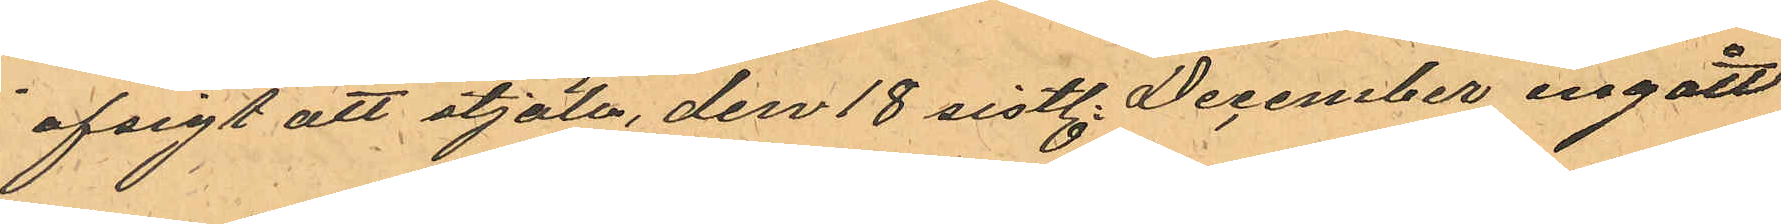i afsigt att stjäla, den 18 sistl. December ingått
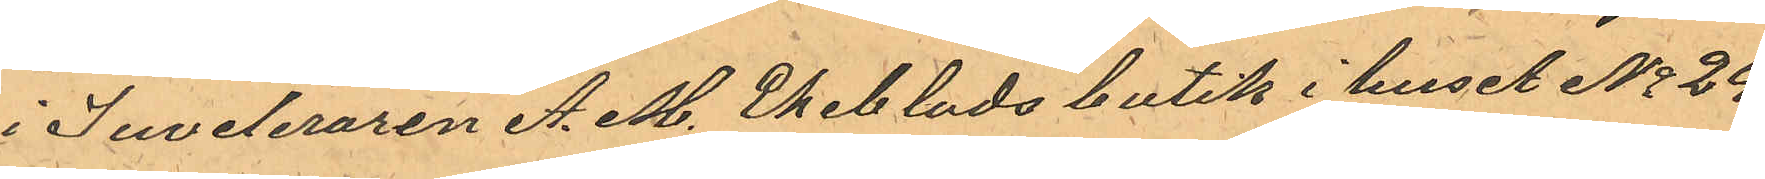i Juveleraren A. M. Ekeblads butik i huset No 24
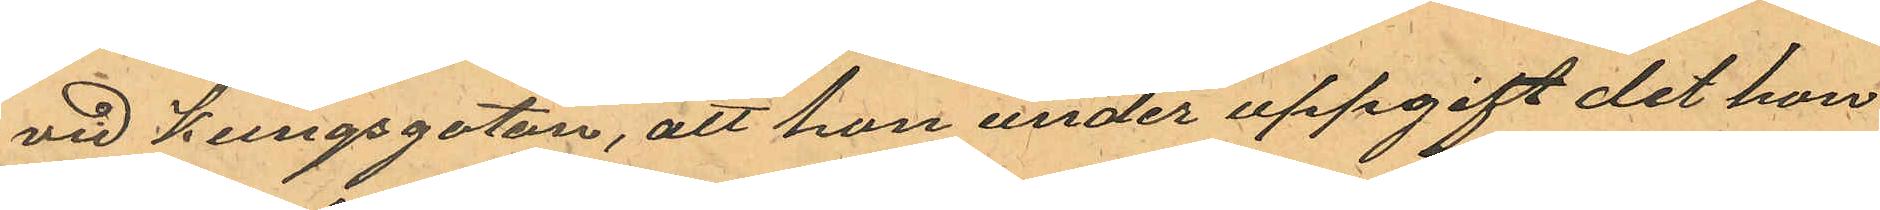vid Kungsgatan, att hon under uppgift det hon
